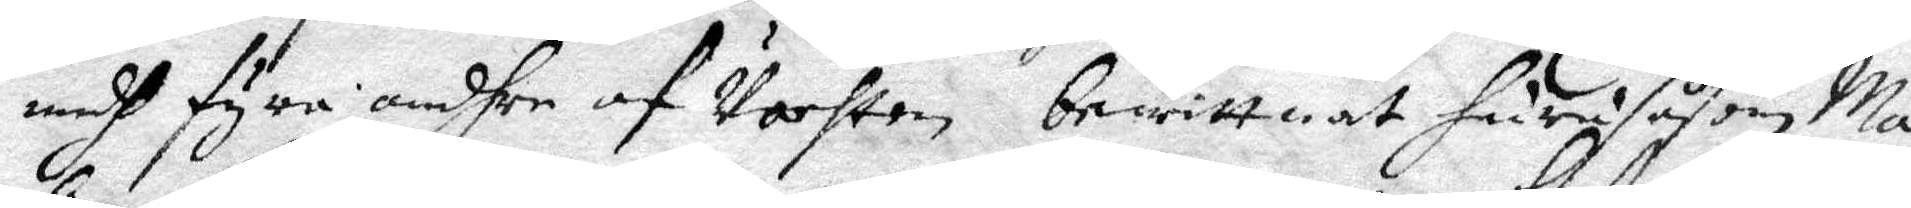medh fyra andhre af vachten bewittnat huru såsom Ma¬
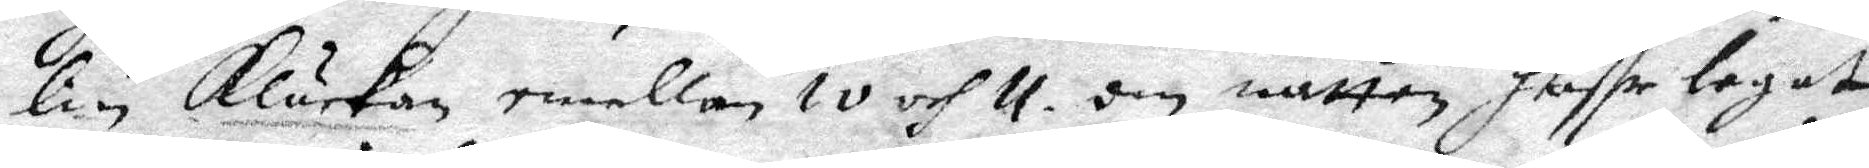lin klåckab emellab 10 och 11 om natten haffr legat
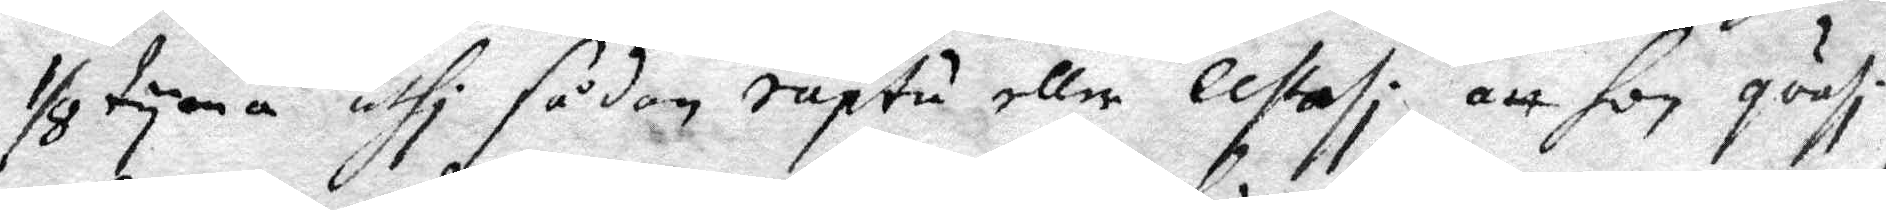1/8 tyma uthi sådan raptu eller lestasi att hon quasi
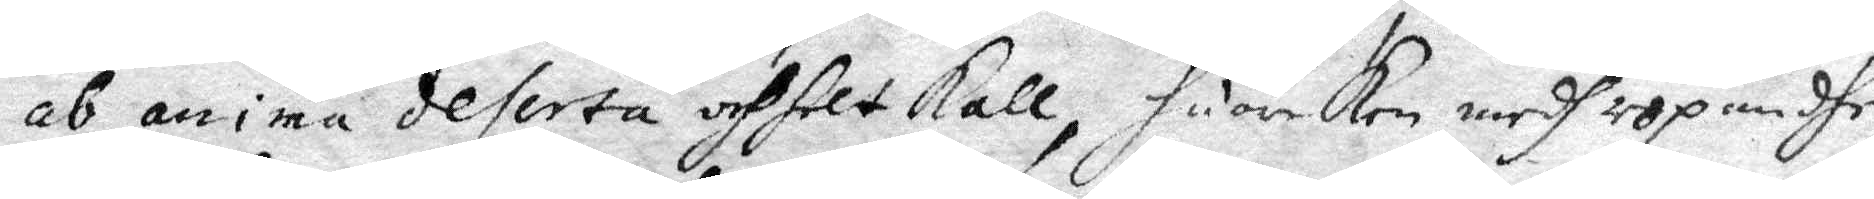ab anima deserta och helt kall, huarken medh ropandhe
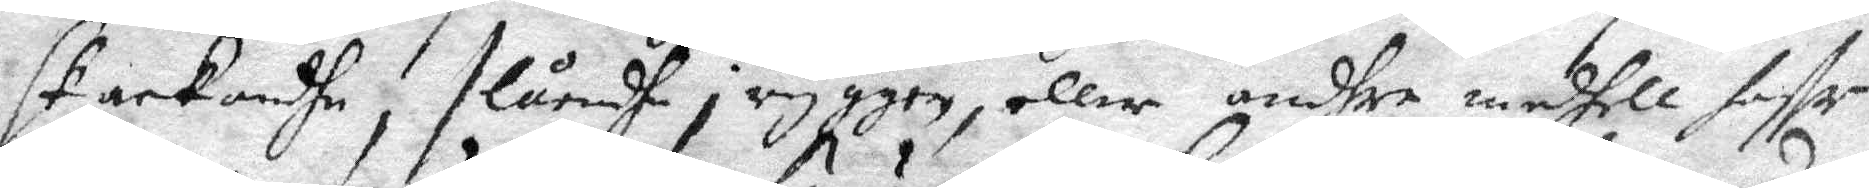stackandhe, slåendhe i ryggen eller andhre medhell haffr
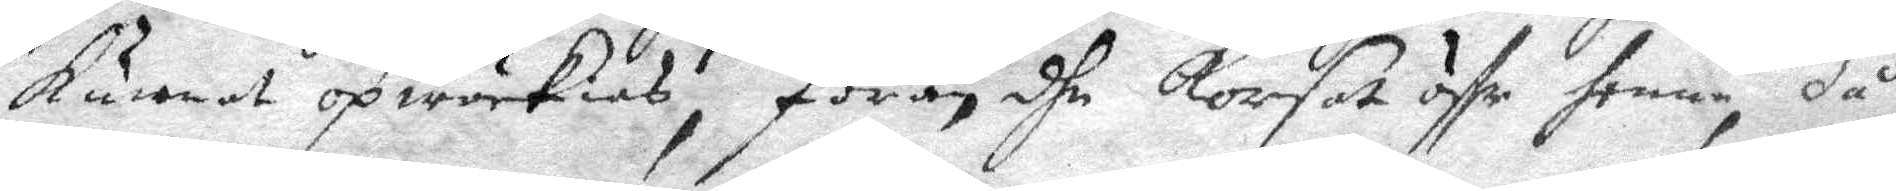kunnat opwäckias, förän dhe korsat öffr henne, då 
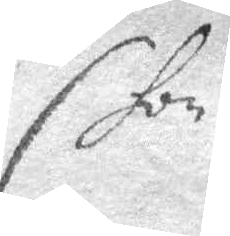hon
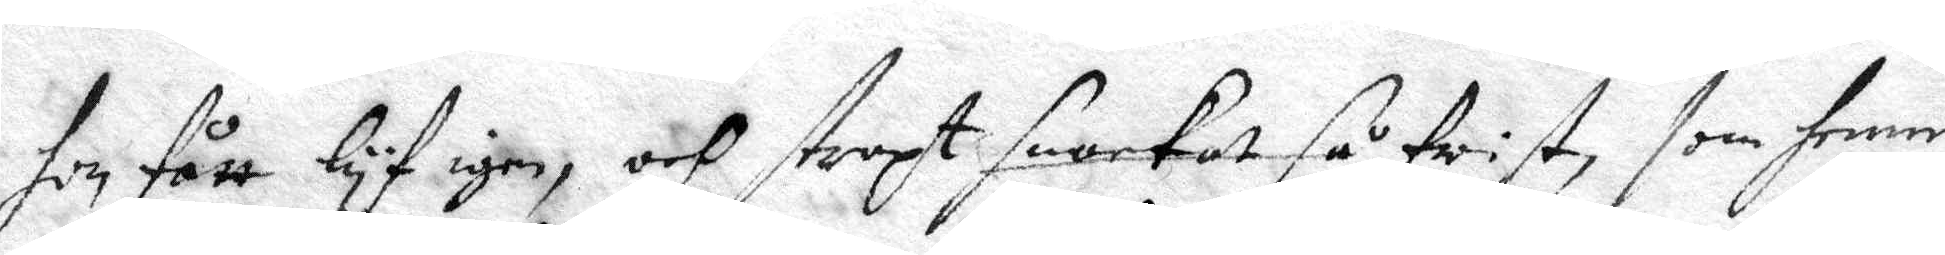hon fått lyf igen, och straxt snarkat så drist som henne
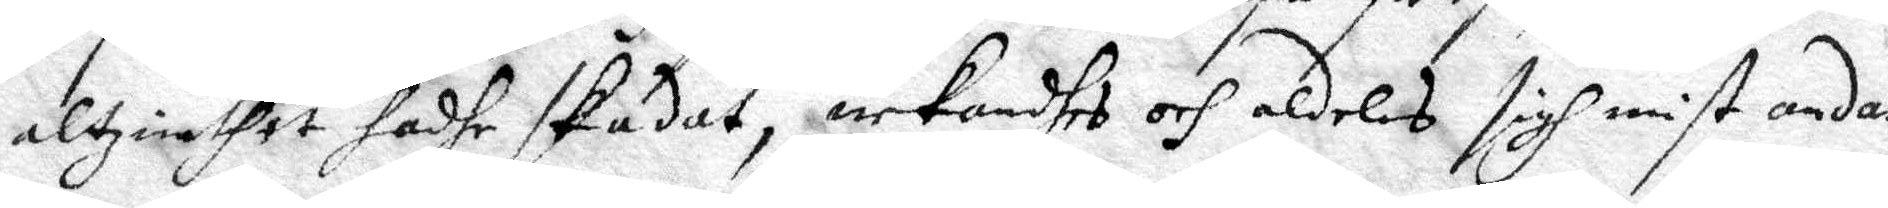altzinthet hadhe skadat, nekandhes och aldeles sigh mist andan,
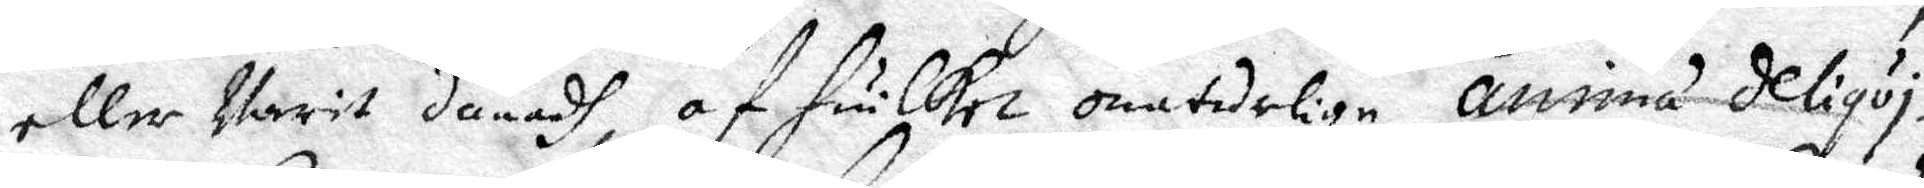eller Varit dånadh af huilket onaturligen anomá deliqui¬
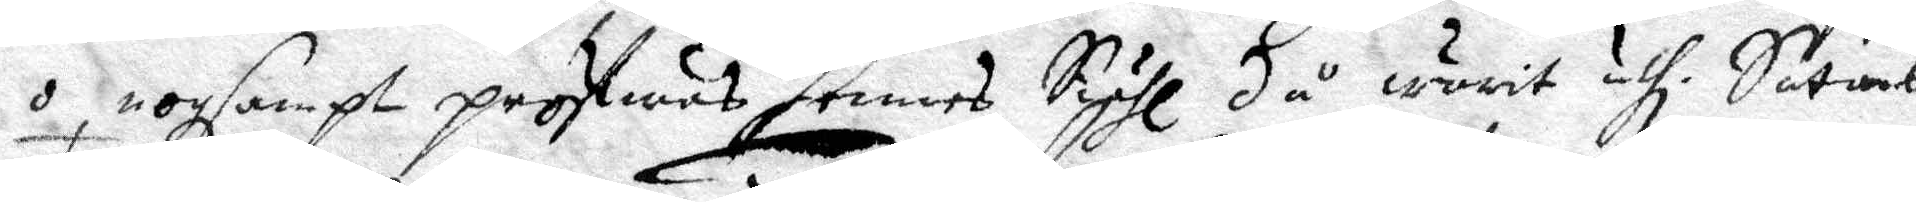o, nogsampt pröfwas hennes Siähl då warit uthi Stahans
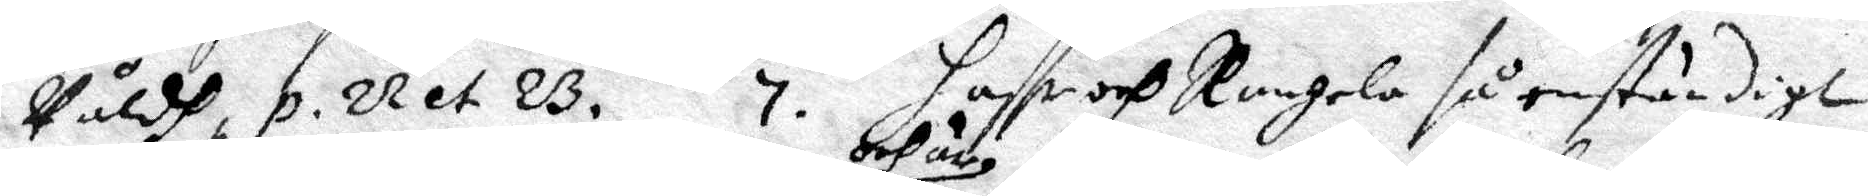Våldh, p. 22 et 23. 7. haffr och Rangela så enständigt
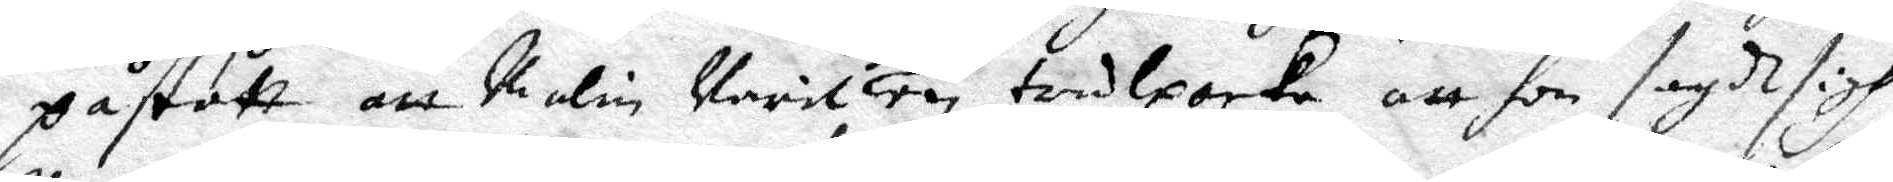påstått att Malin Varit och är en trolpacka att hon sagdt sigh
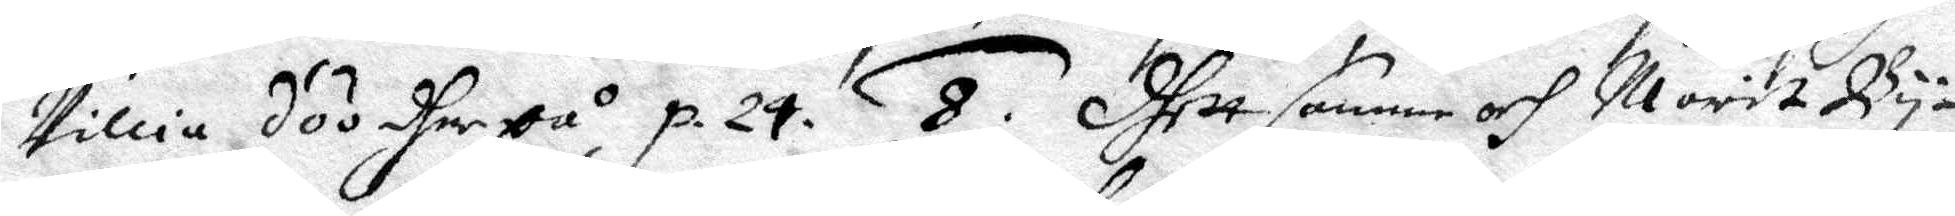Villia döö dher på p. 24. 8. Dhett samme och Marit By¬
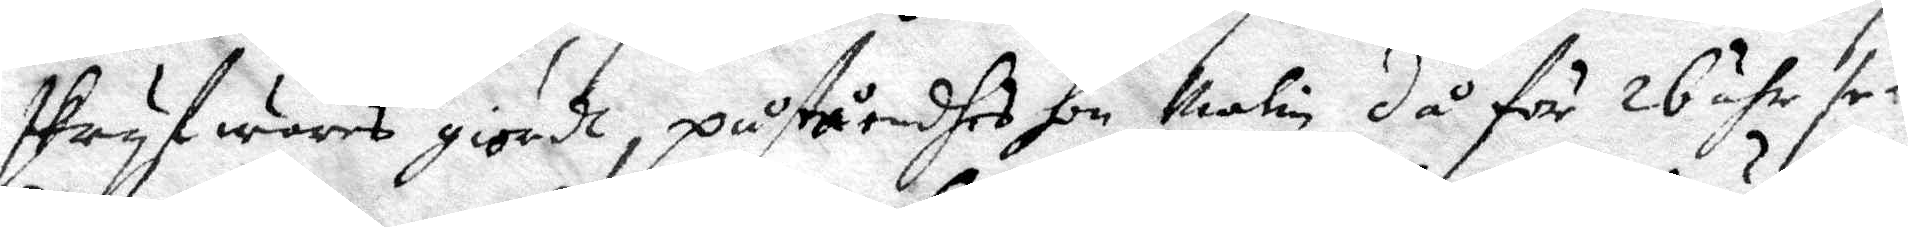skryfwares giordt, påståendhes hon Malin då för 26 åhr se¬
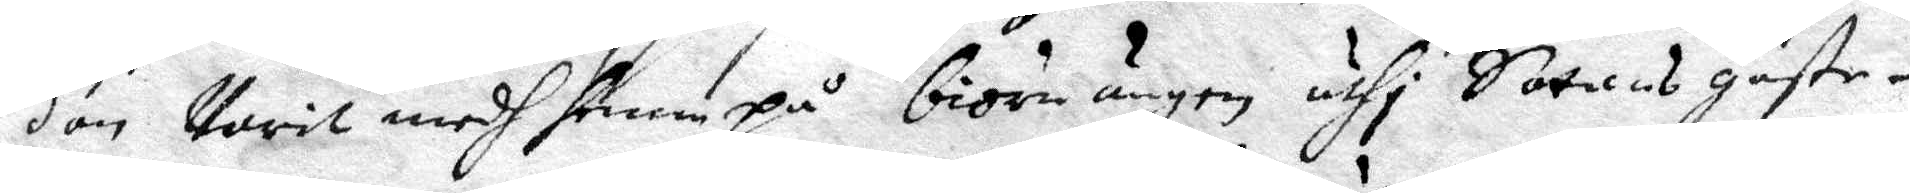dan varit medh henne på biörnängen uthi Sathans gäste¬
